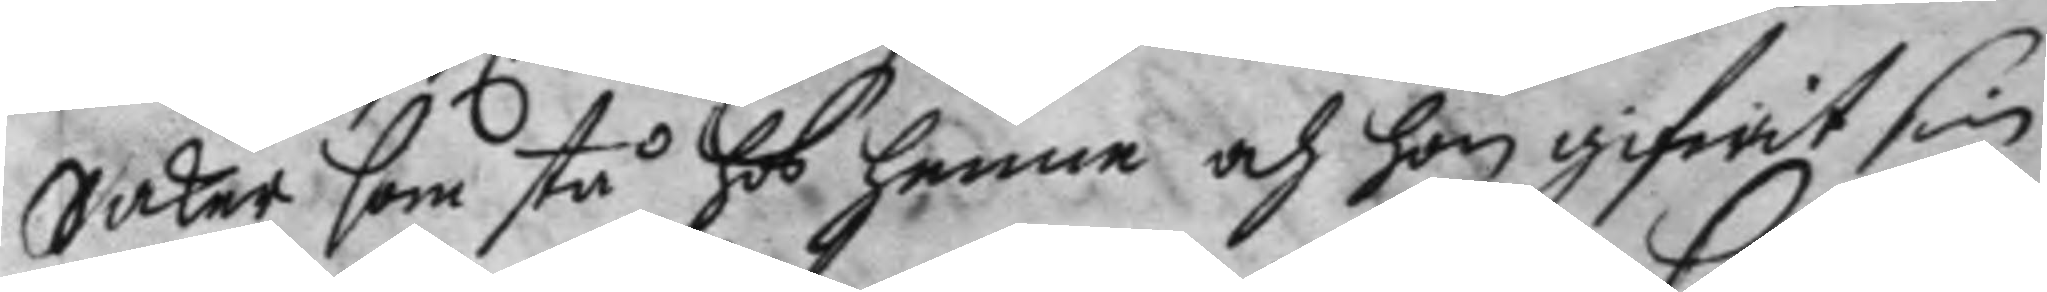Saker som stå hos henne och hon gifwit sin
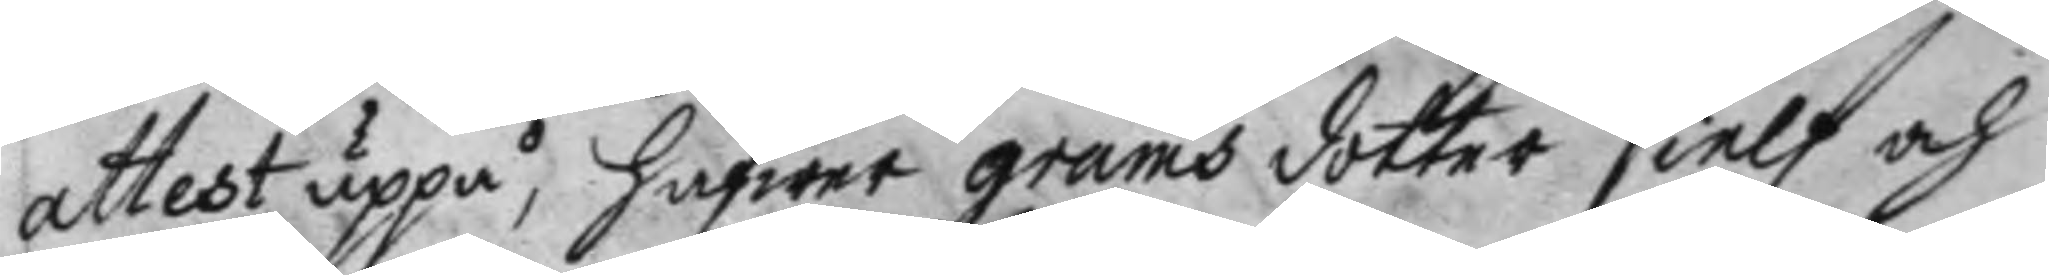attest uppå, Hafwer grams dotter sielf och
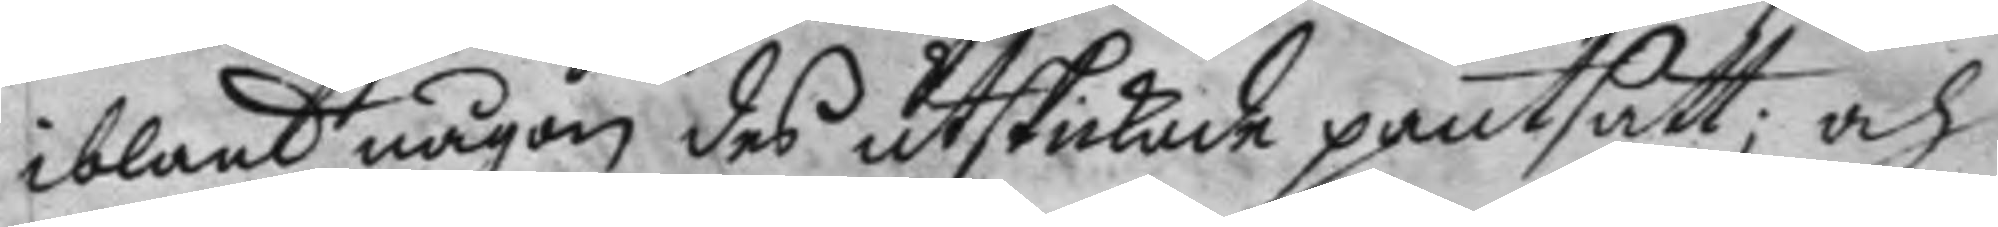iblant någon des utskickade pantsatt; och
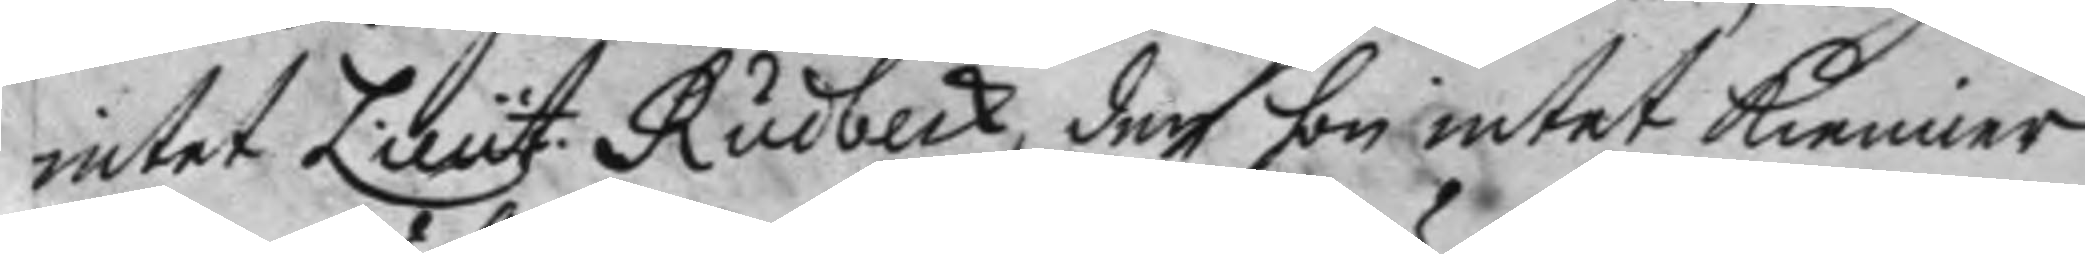intet Lieut Rudbeck, den hon intet kienner
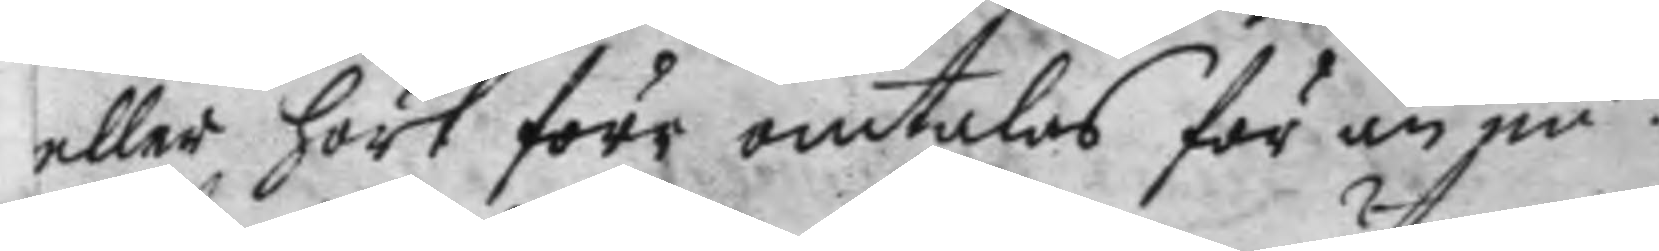eller hört förr omtalas för än nu.
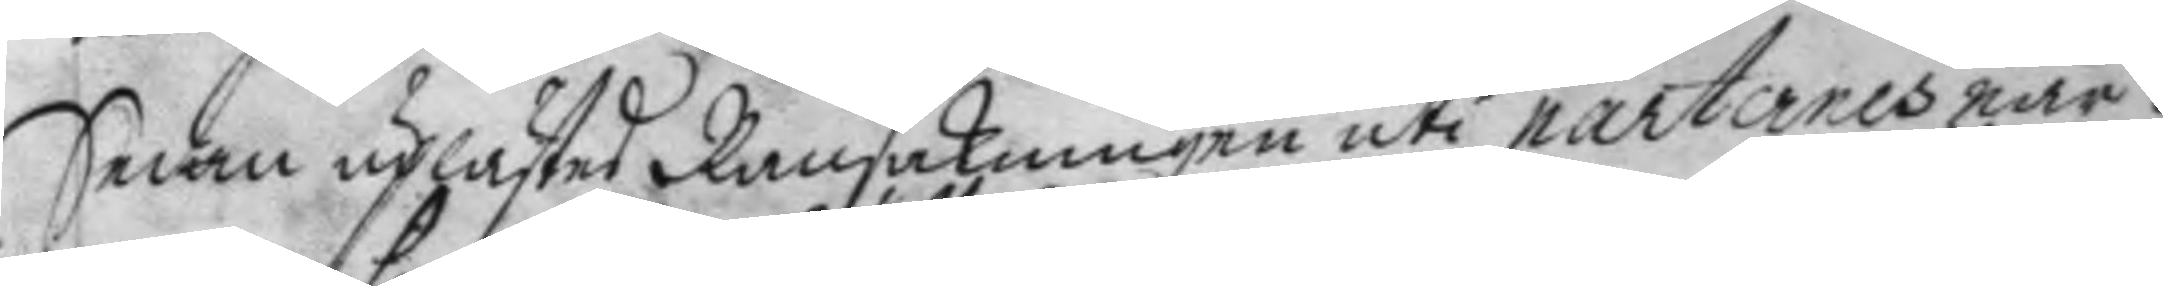Sedan uplästes Ransakningen uti parternes när¬
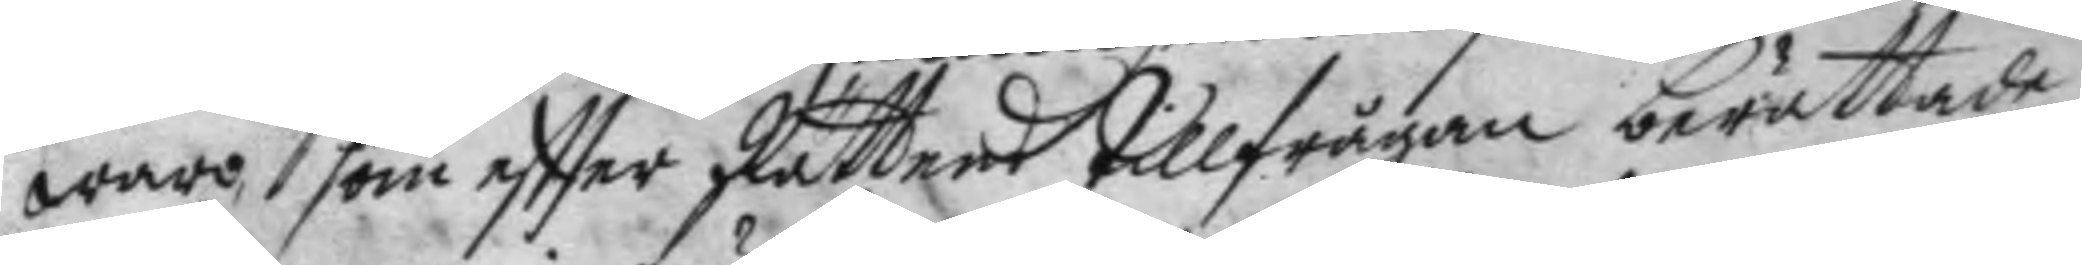waro, som effter Rättens tillfrågan berättade
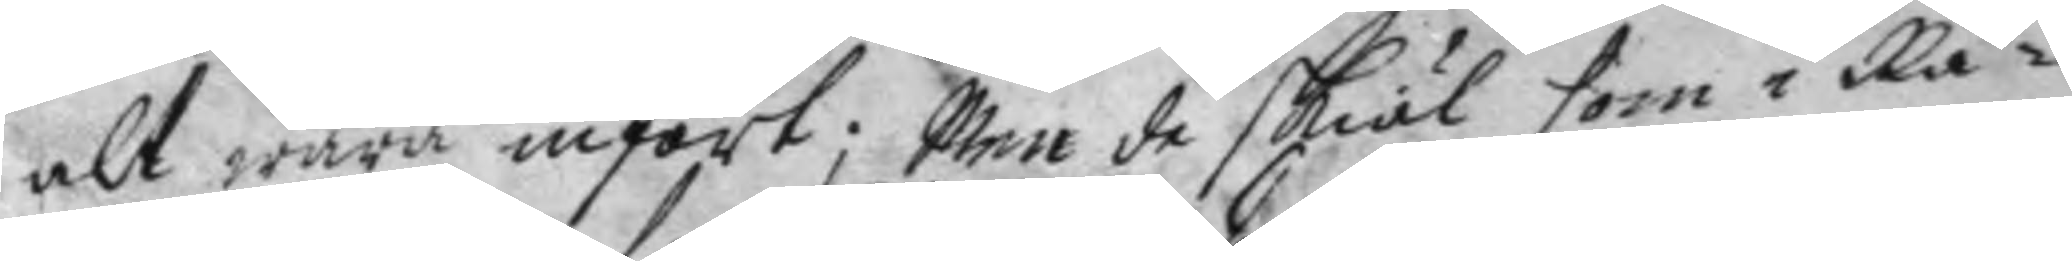alt wara infört; Men de skiäl som i Rä¬
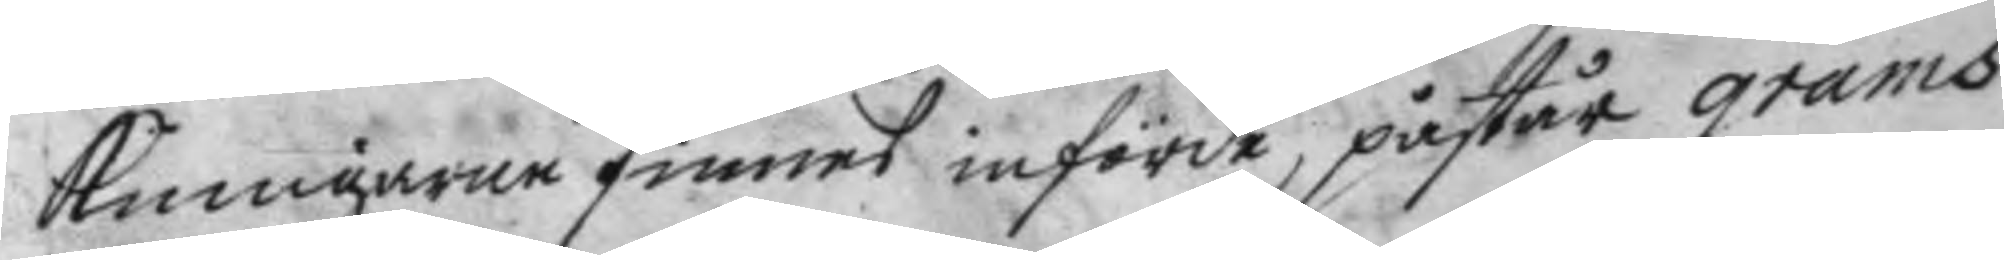kningarne finnes införde, påstår grams
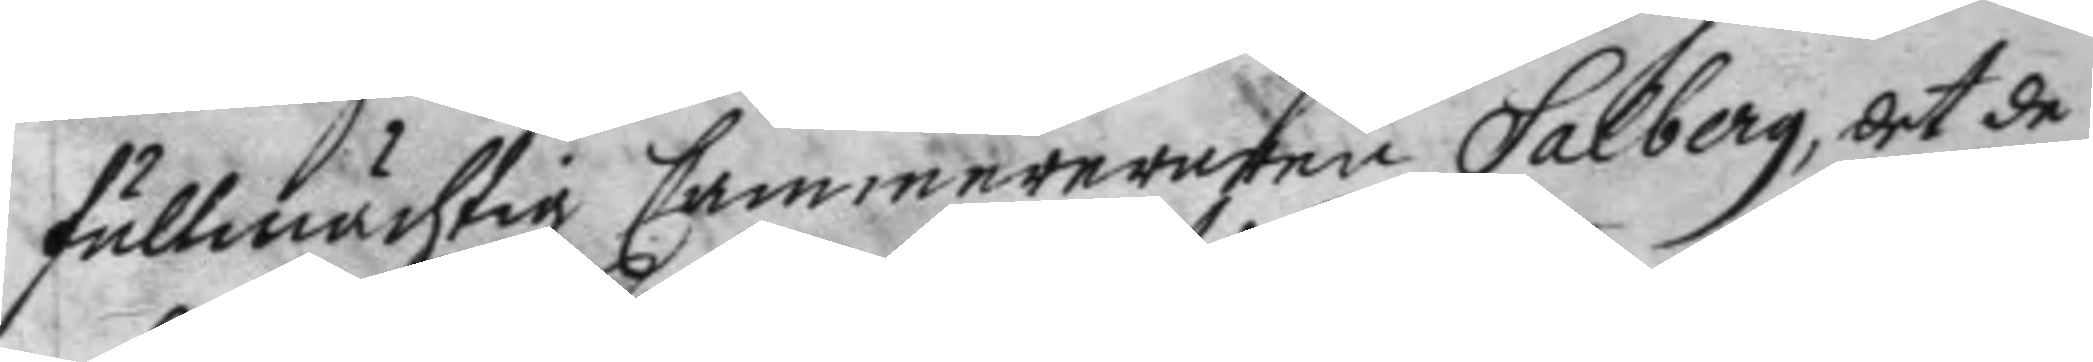fullmächtig Cammereraren Salberg, det de
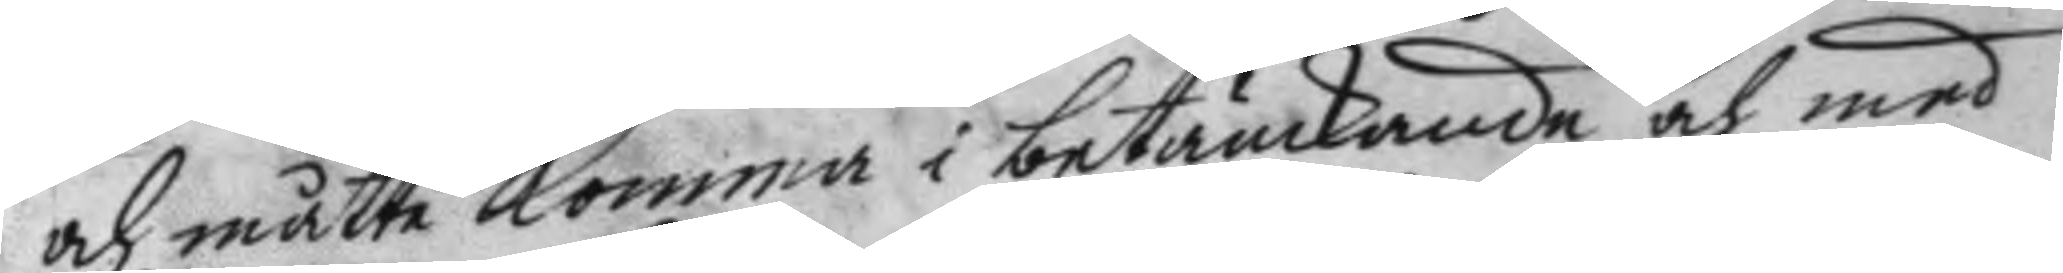och måtte komma i betänckande och med
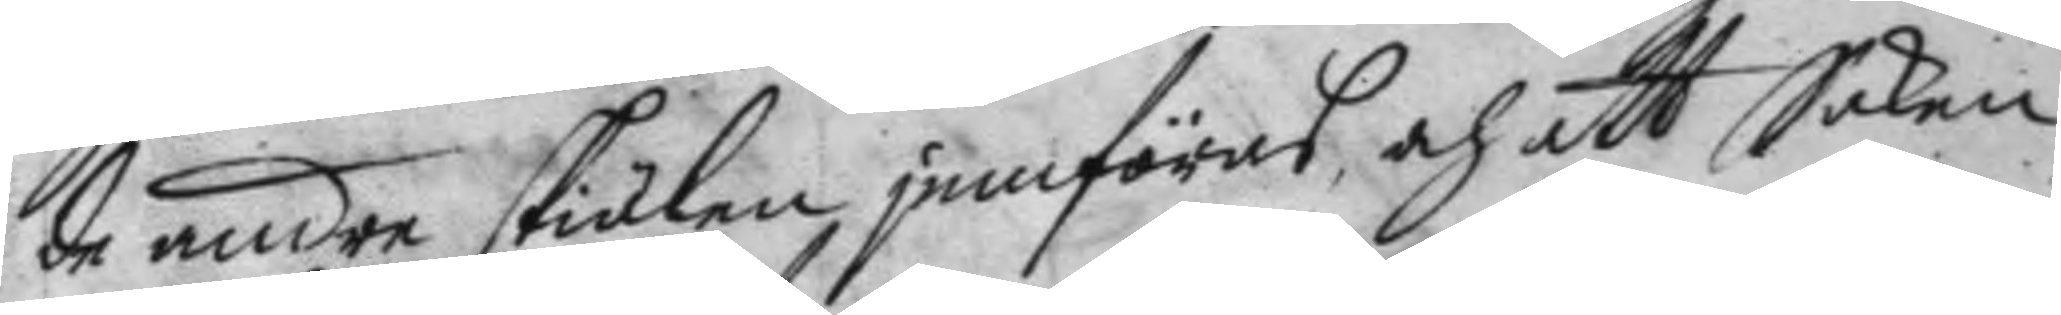de andre skiälen, jemföras, och att Saken
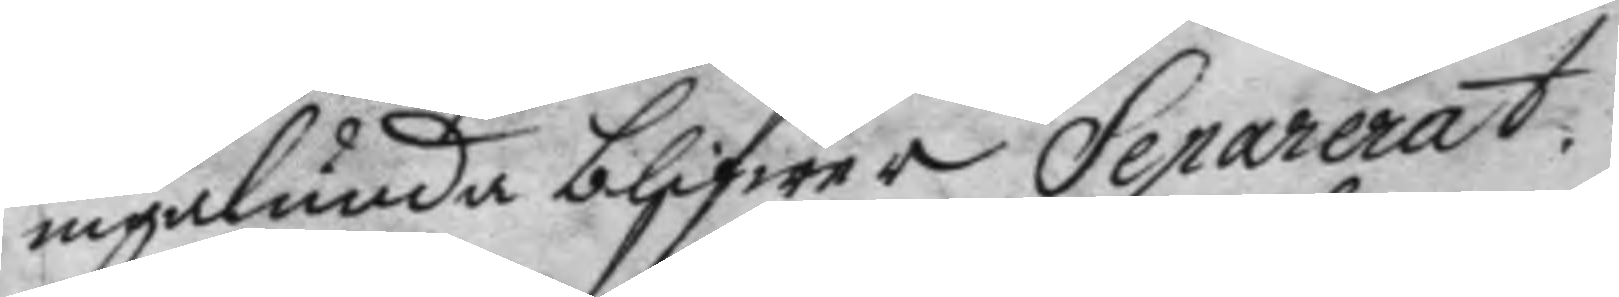ingalunda blifwer Separerat:
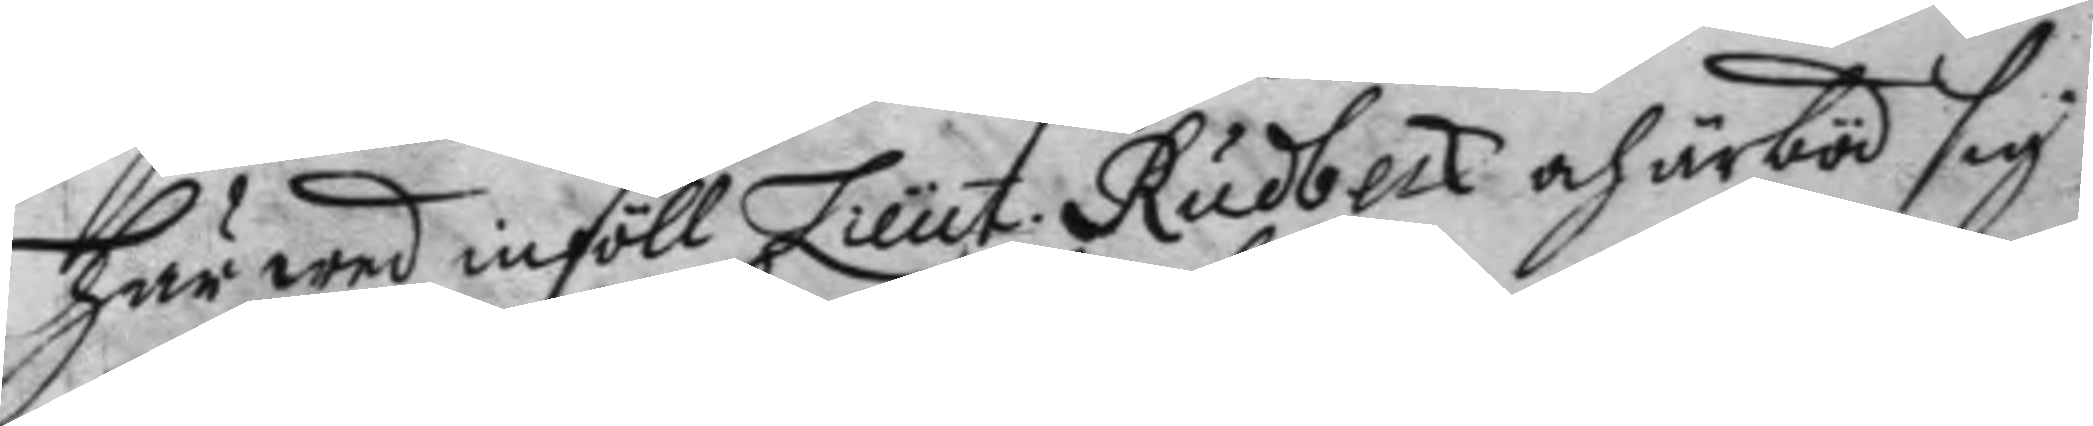Här wed inföll Lieut. Rudbeck och ärböd sigh
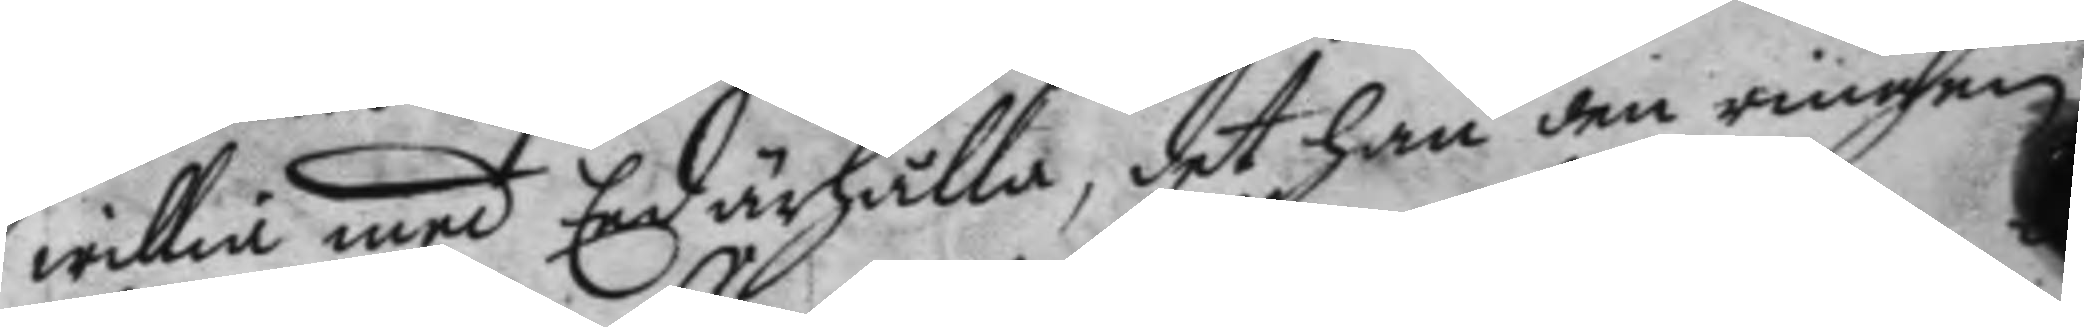willia med Eed ärhålla, det han den ringen
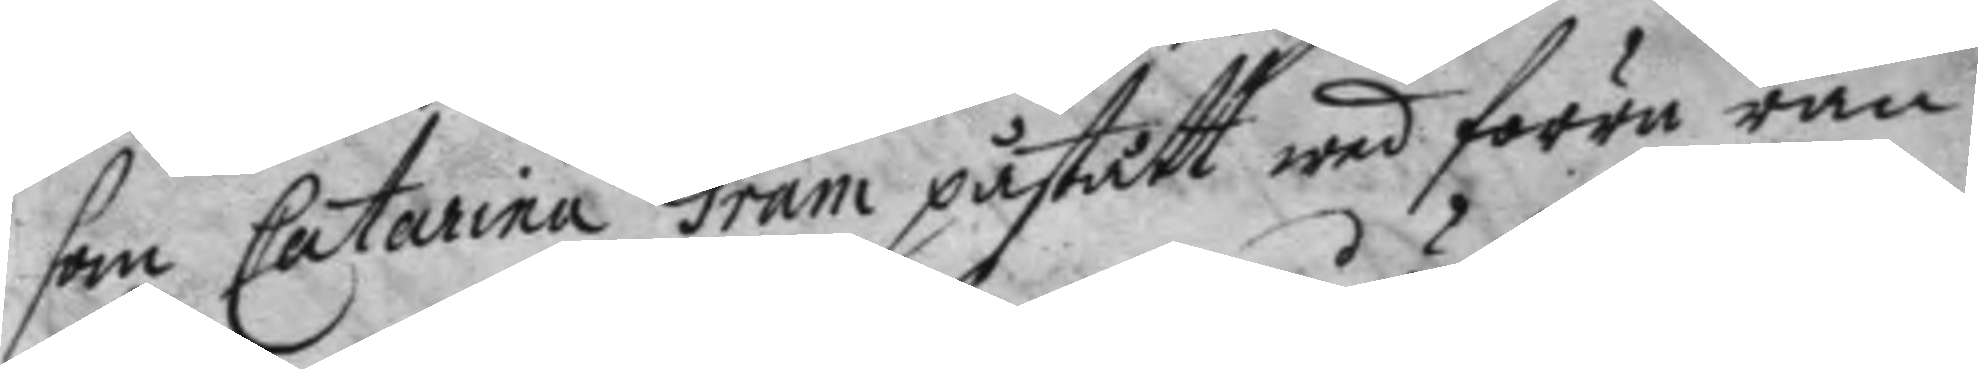som Catarina Gram påstått wed förre ran¬
